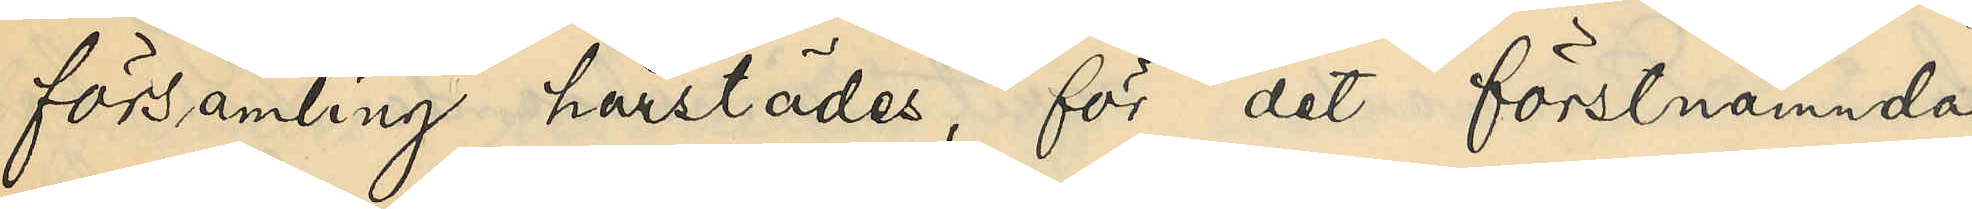församling härstädes, för det förstnämnda
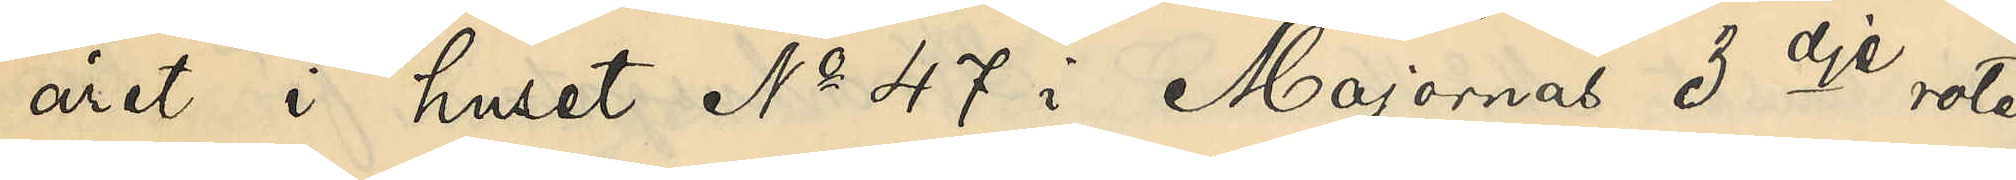året i huset No 47 i Majornas 3dje rote
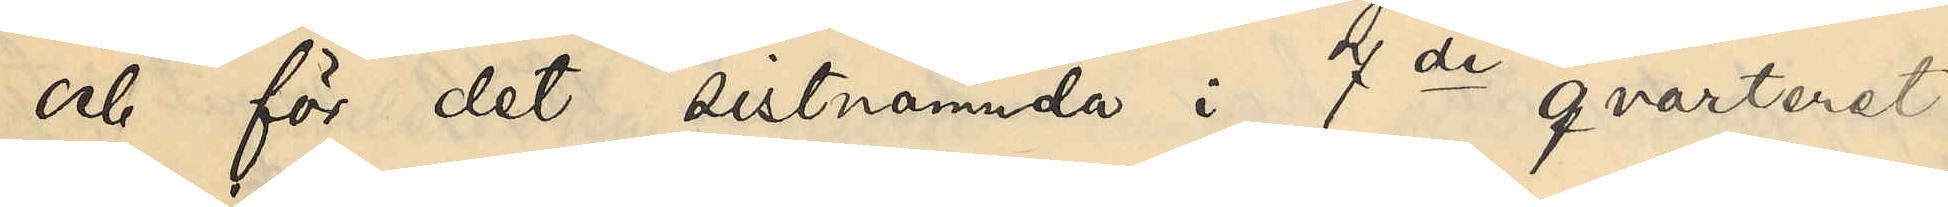och för det sistnämnde i 7de qvarteret
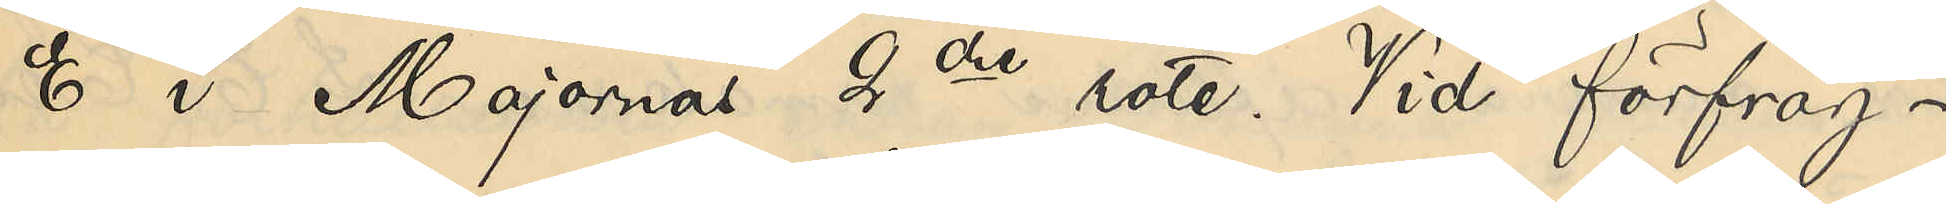E i Majornas 2dre rote. Vid förfråg¬
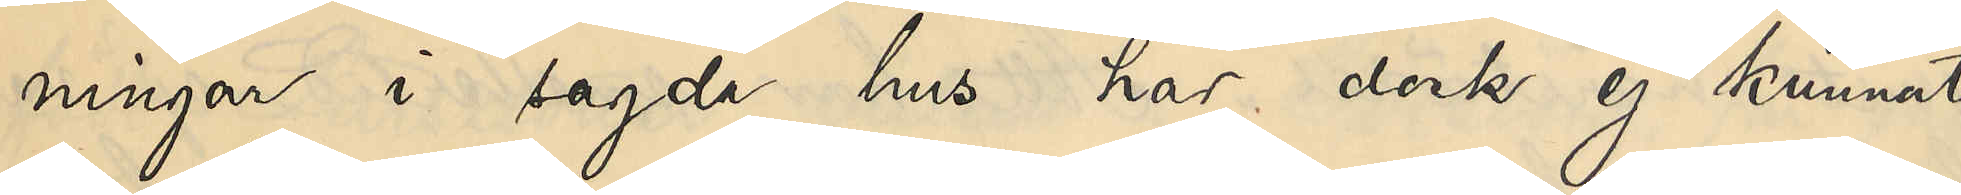ningar i sagde hus har dock ej kunnat
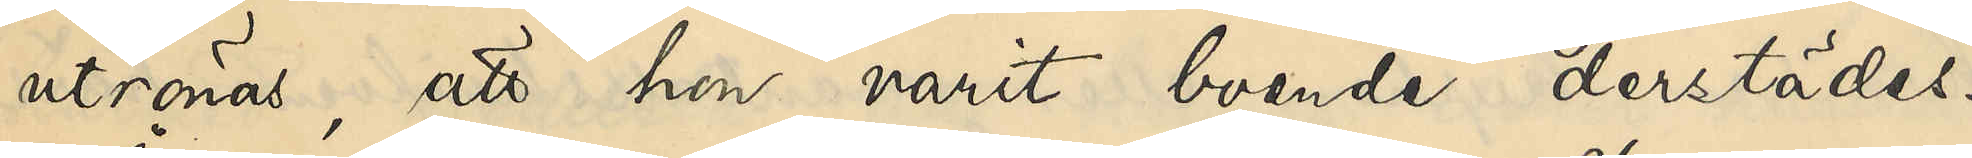utrönas, att hon varit boende derstädes.
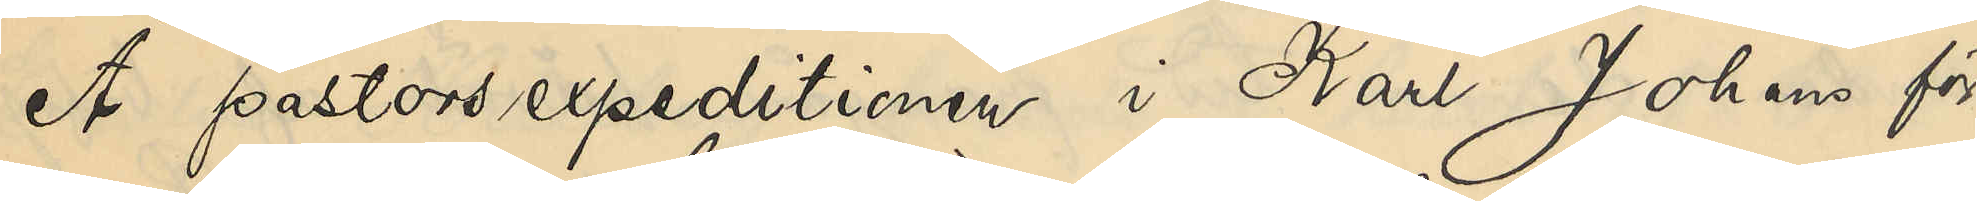Å pastorsexpeditionen i Karl Johans för¬
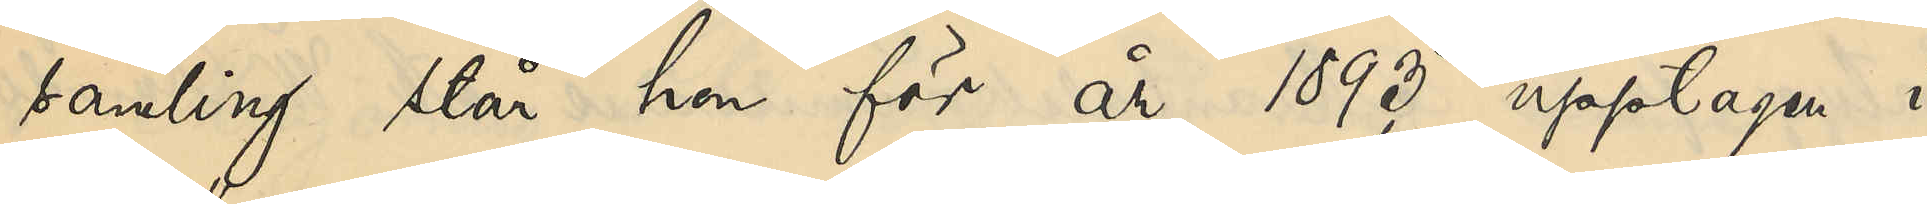samling står hon för år 1893 upptagen i
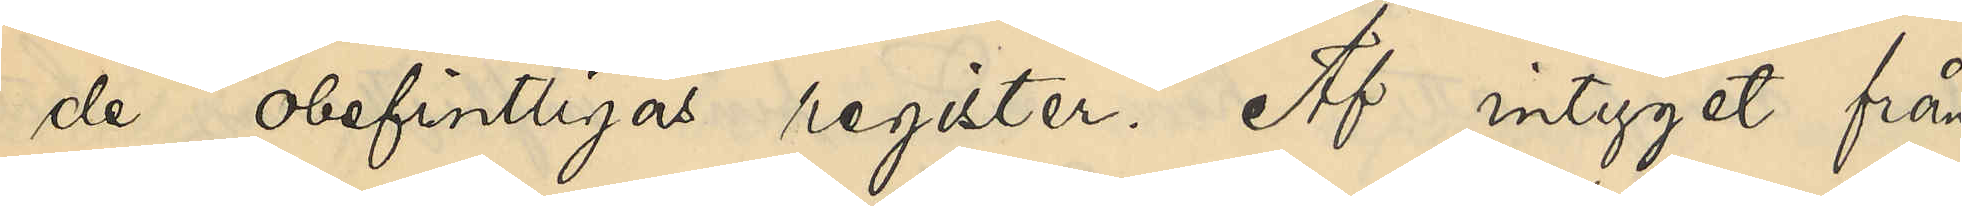de "obefintligas register". Af intyget från
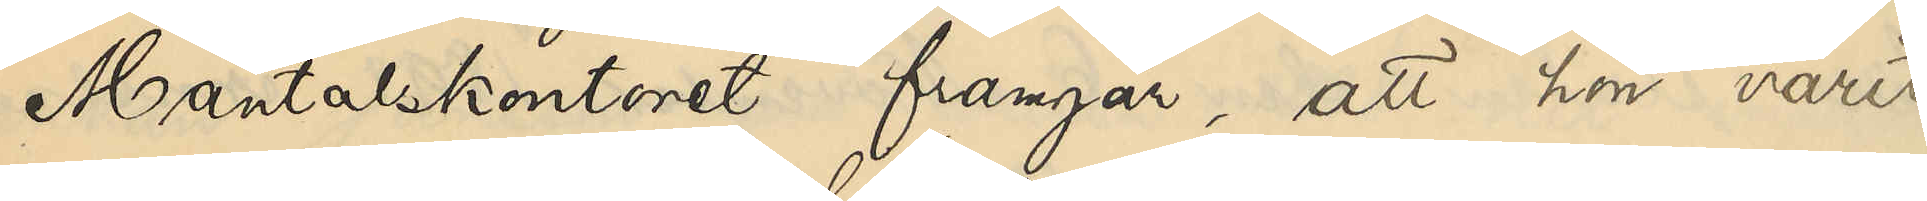Mantalskontoret framgår, att hon varit
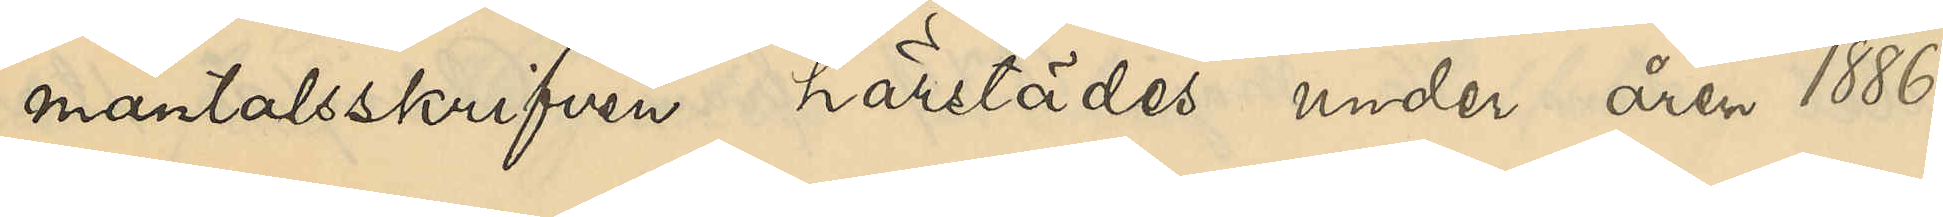mantalsskrifven härstädes under åren 1886,
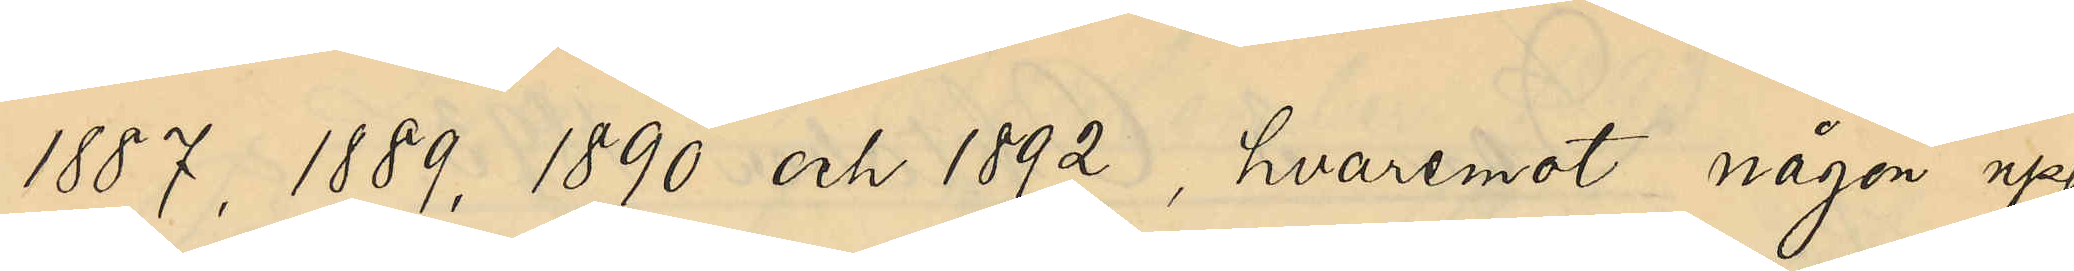1887, 1889, 1890 och 1892, hvaremot någon upp¬
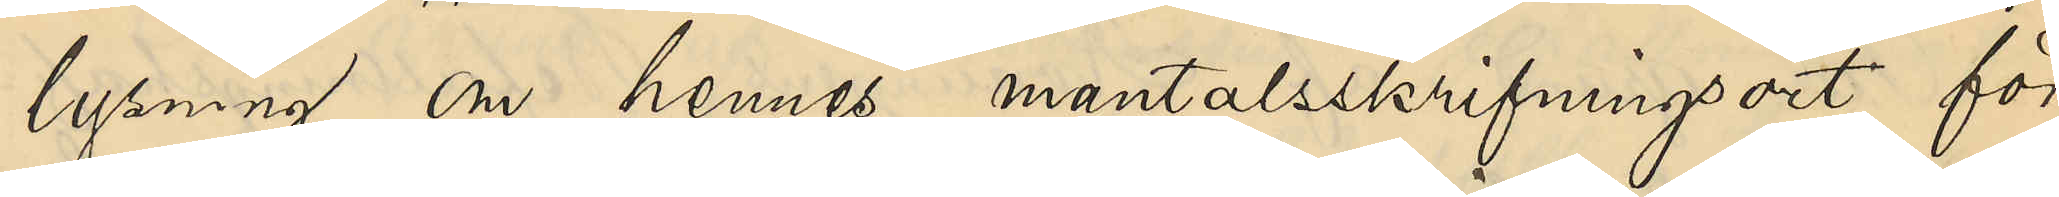lysning om hennes mantalsskrifningsort för
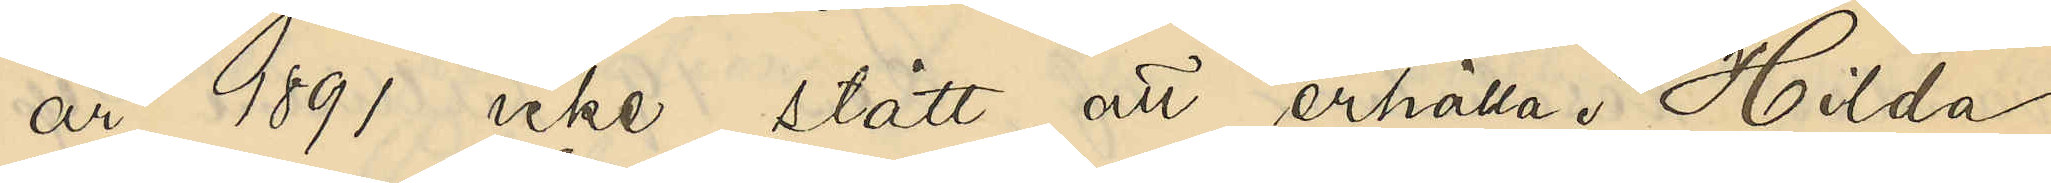år 1891 icke stått att erhålla. Hilda
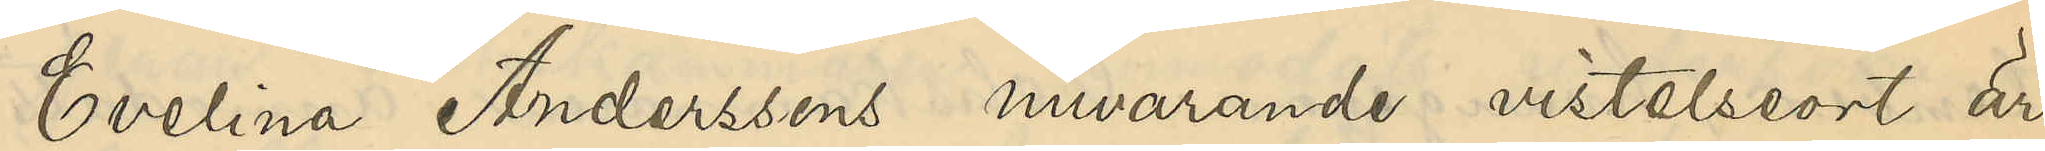Evelina Anderssons nuvarande vistelseort är
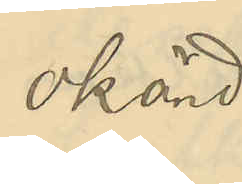okänd.
